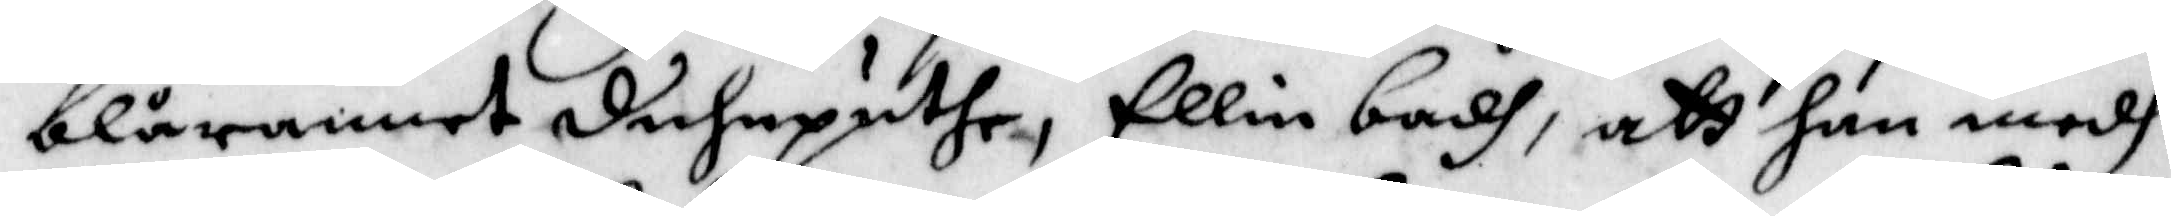blårannet duhnputhe, Ellin badh, att han medh
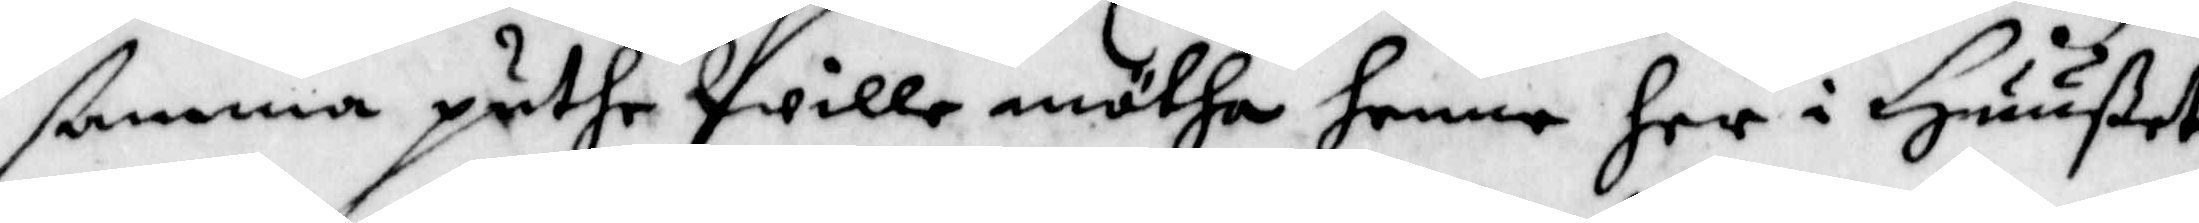ßamma puthe Wille mötha henne her i Huußet
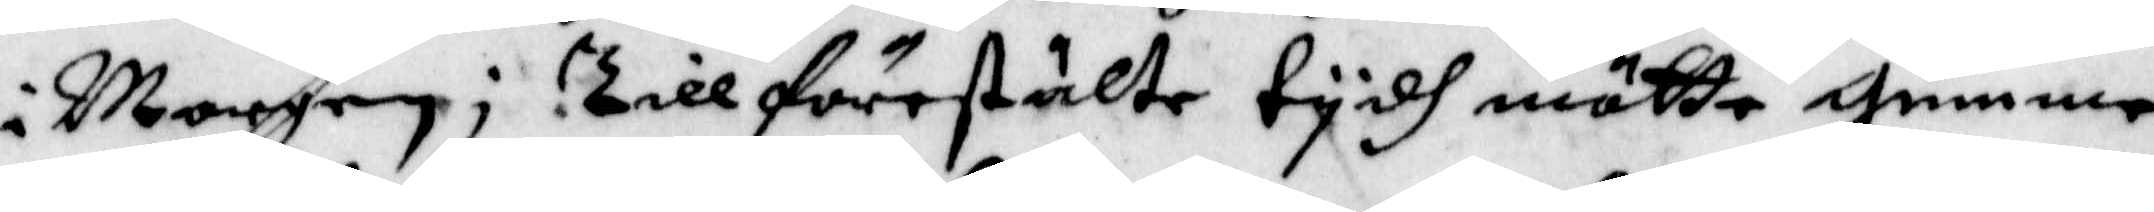i Morgon; Till förestälte tydh måtte gumme
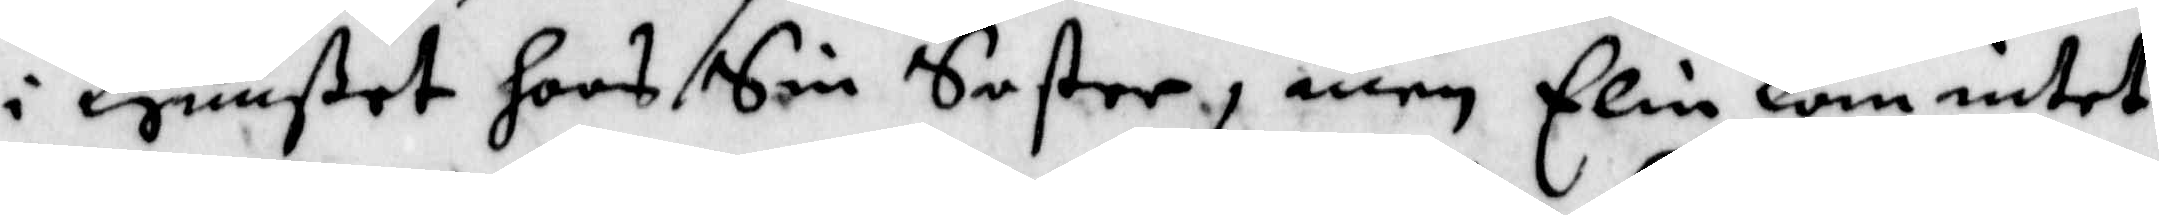i Huußtet hoos Sin Suster, men Elin kom intet
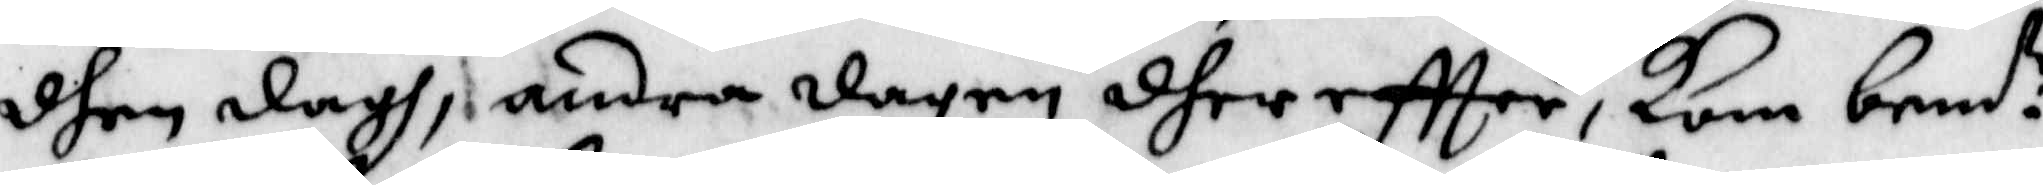dhen dagh, andra dagen dhereffter, kom bem:te
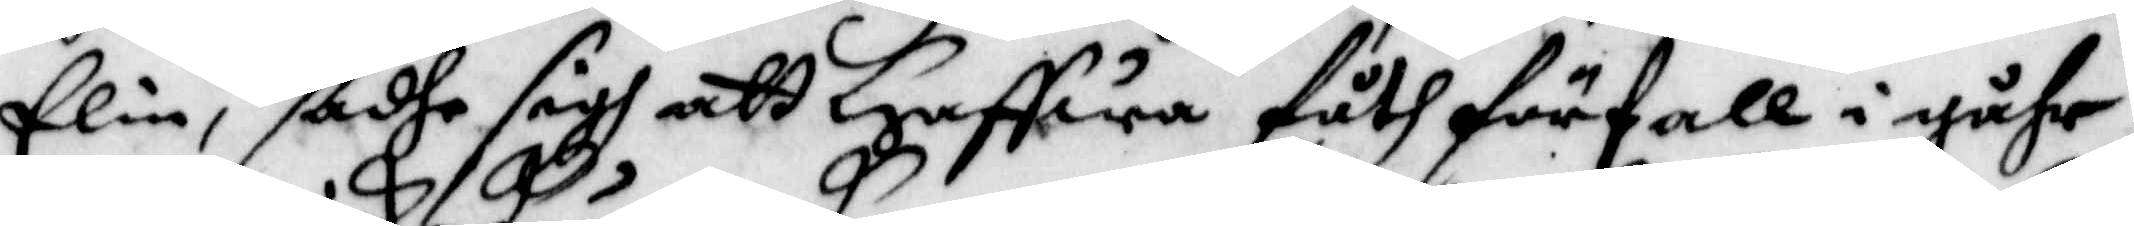Elin, sadhe sigh att Haffwa fåth förfall i gåhr,
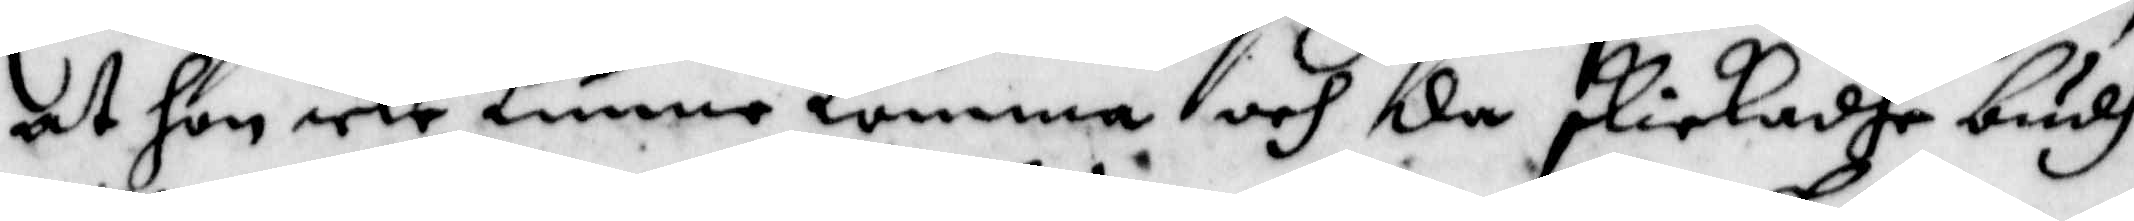at hon icke kunne komma och da skickadhe budh
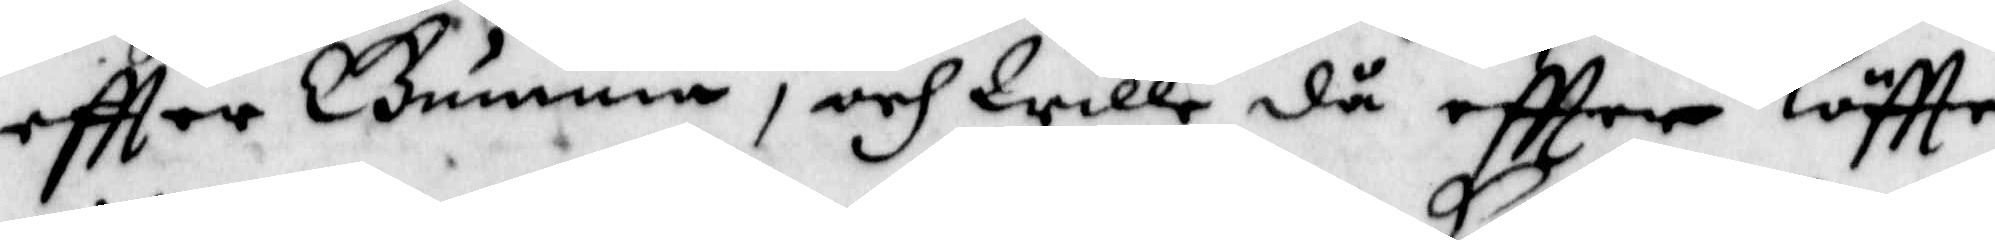eftter Gumma, och Wille då eftter löffte
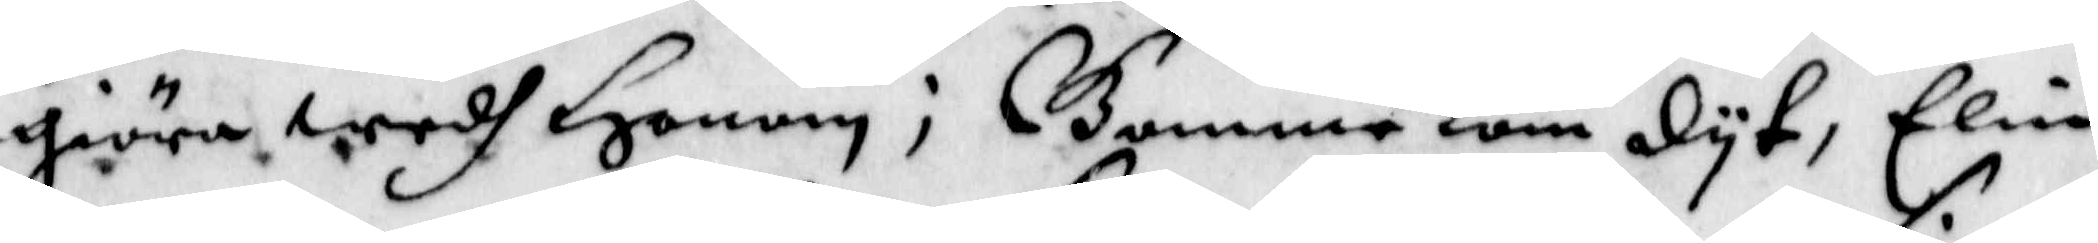giöra, wedh Honom; Gumme kom dyt, Elin
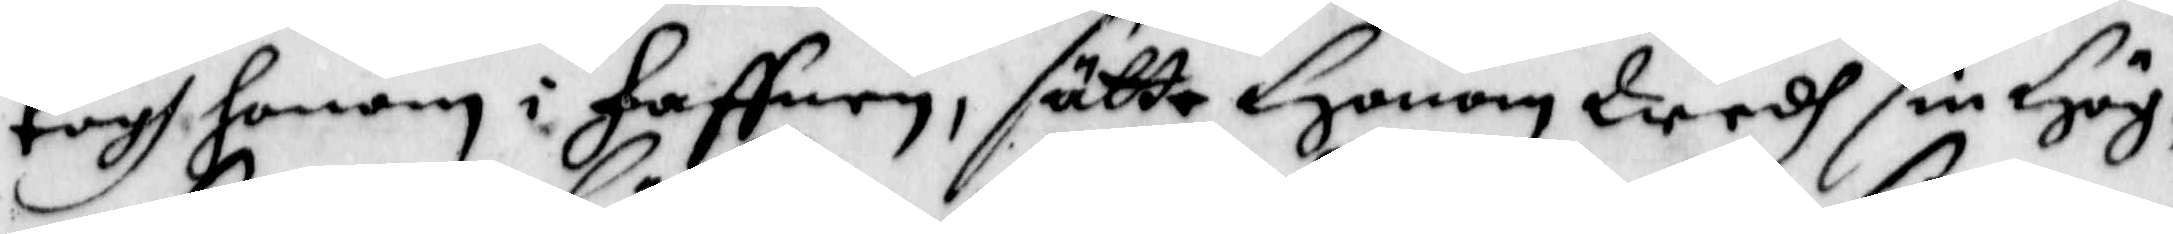togh honom i haffnen, sätte Honom wedh sin Hög¬
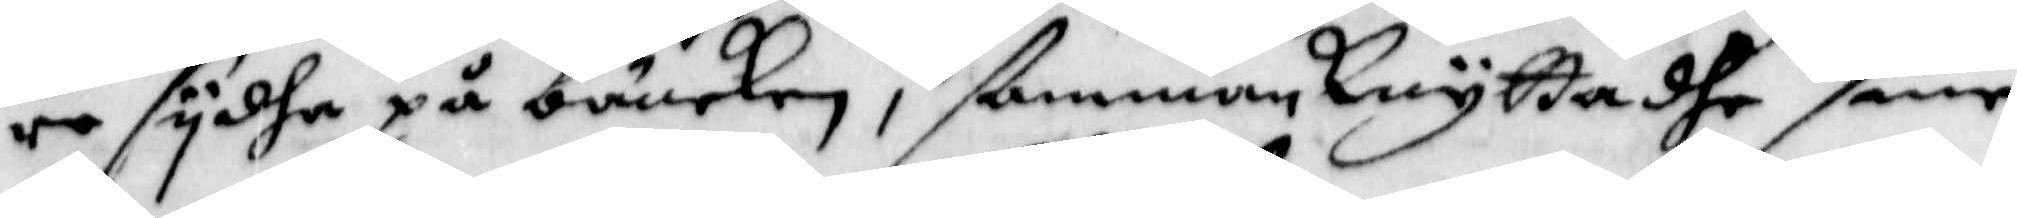re sydha på bäncken, ßamman Knyttadhe sine
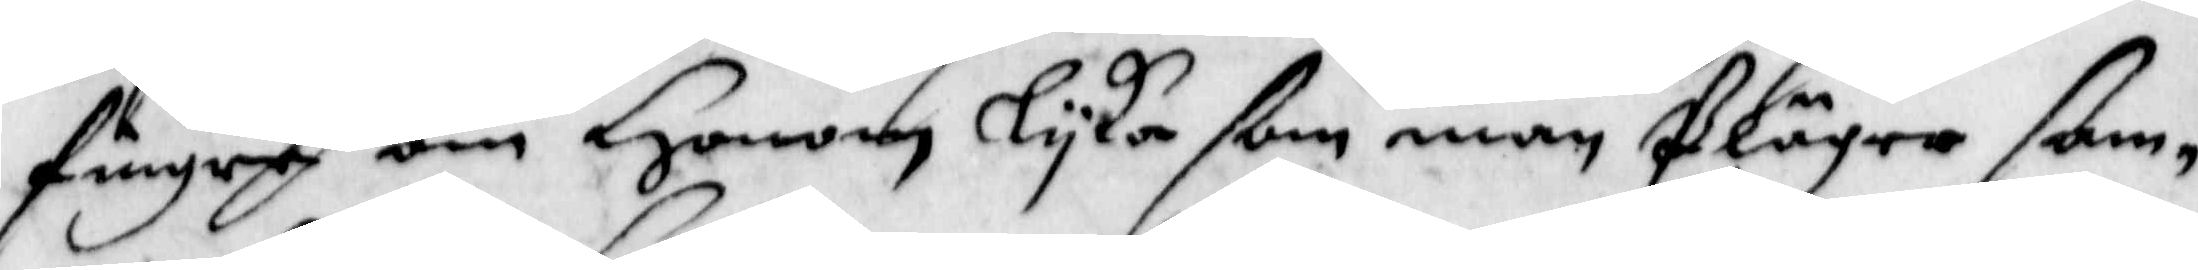fingre om Honom lyka som man Pläger ßam¬
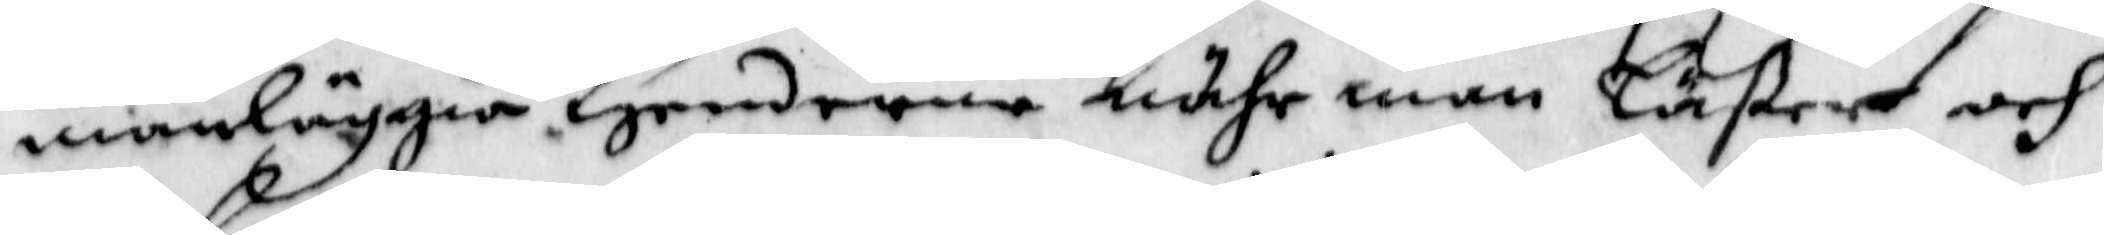manläggia Henderne nähr man Läßer och
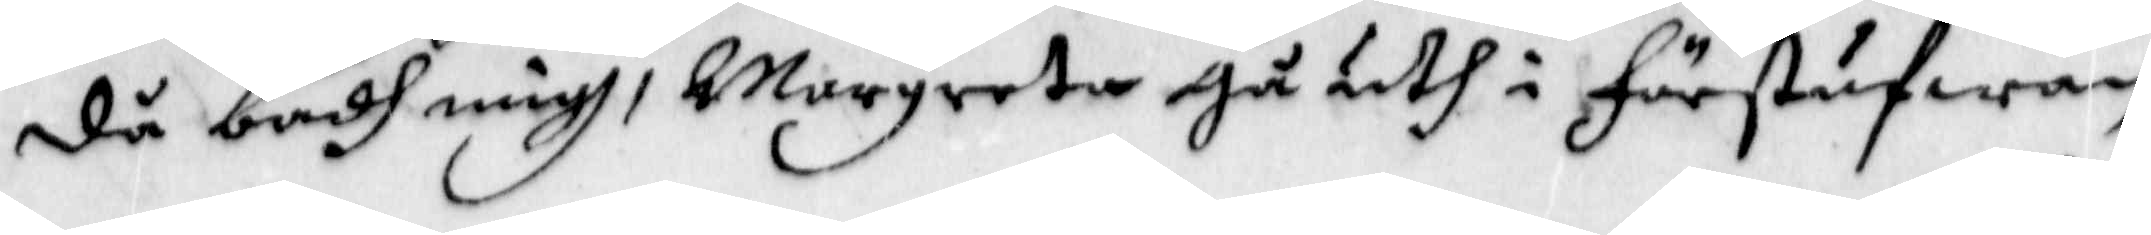då badh migh, Margreta gå uth i förstufwan
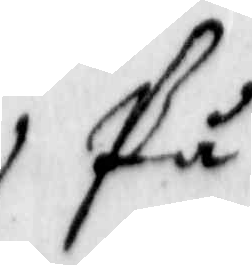På
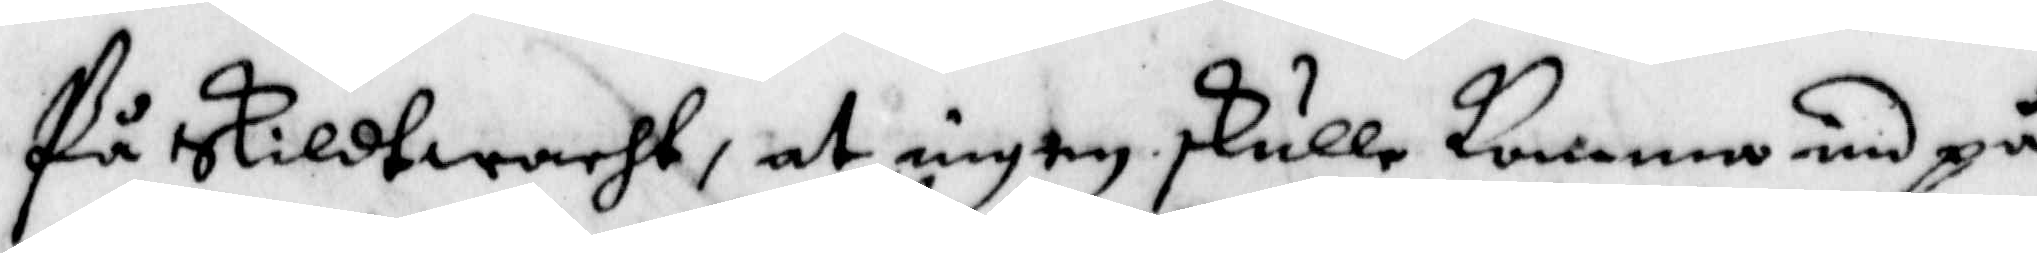På Skildtwacht, at ingen skulle komma und på
